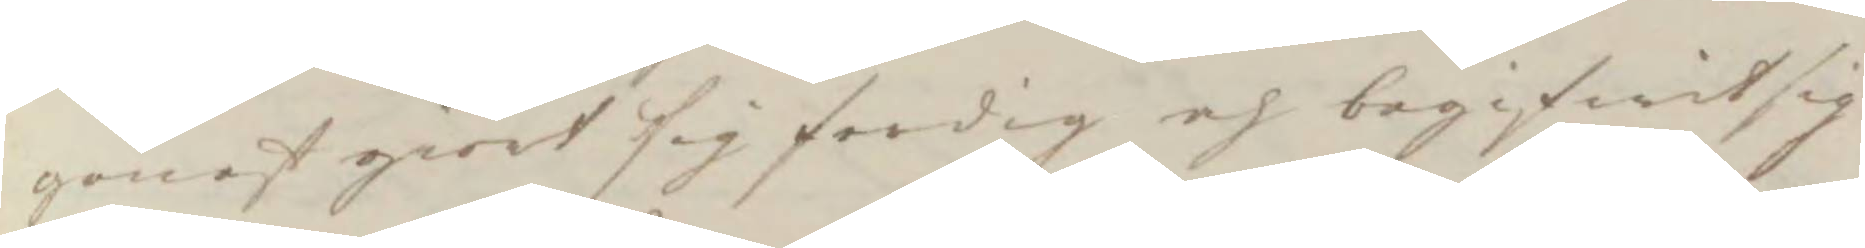genast giort sig ferdig och begifwit sig
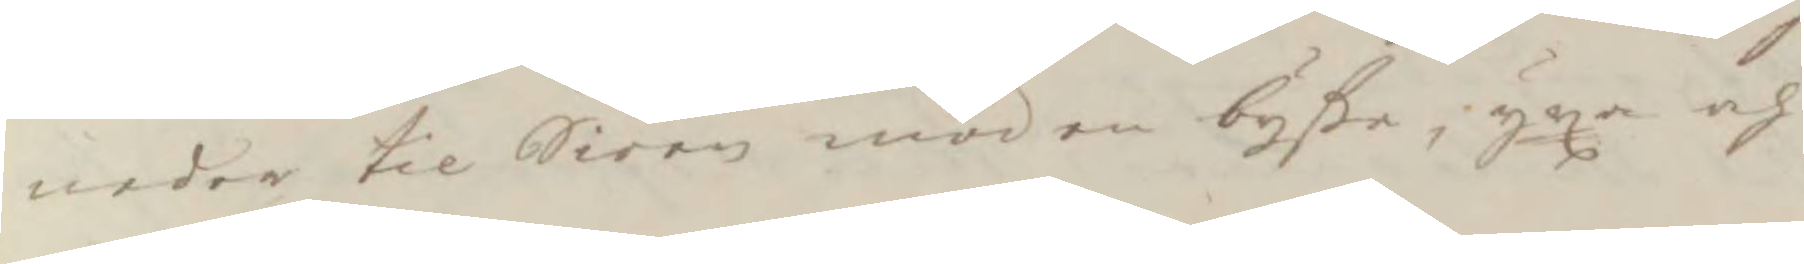neder til Siöen mod en byße, yxa och
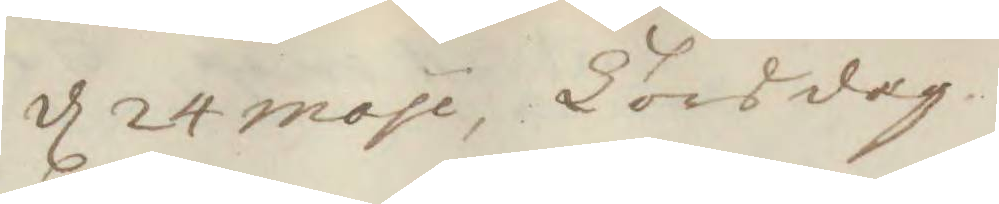d 24 moji, Torsdag. 
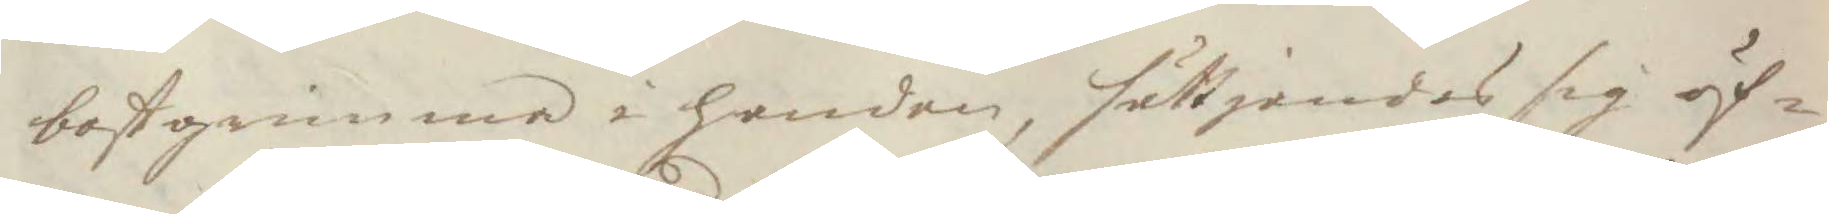bostgrimma i handen, sättjandes sig öf¬
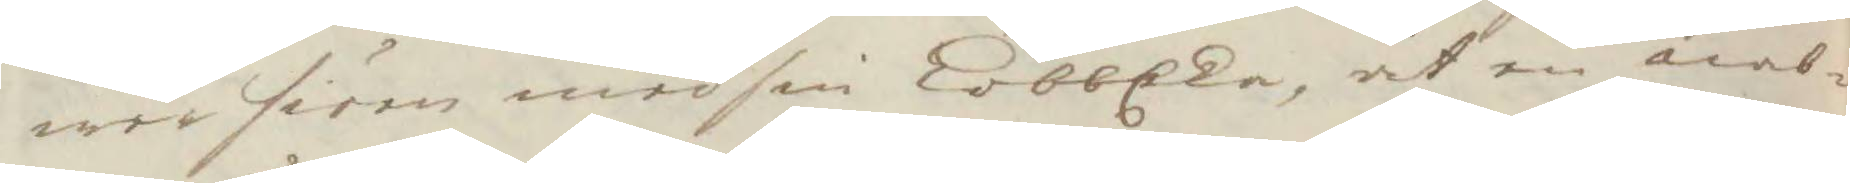wer siön med sin lobbEka, åt en nab¬
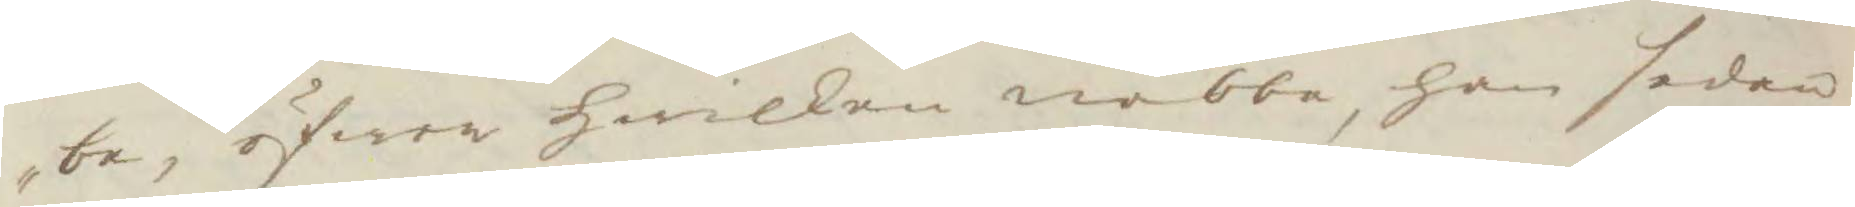be, öfwer hwilken nabbe, han sedan
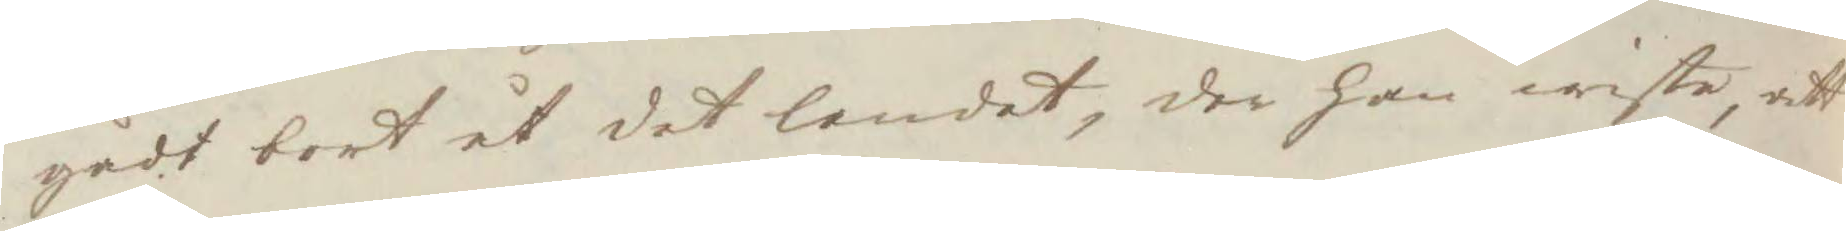gådt bort åt det landet, der han wiste, att
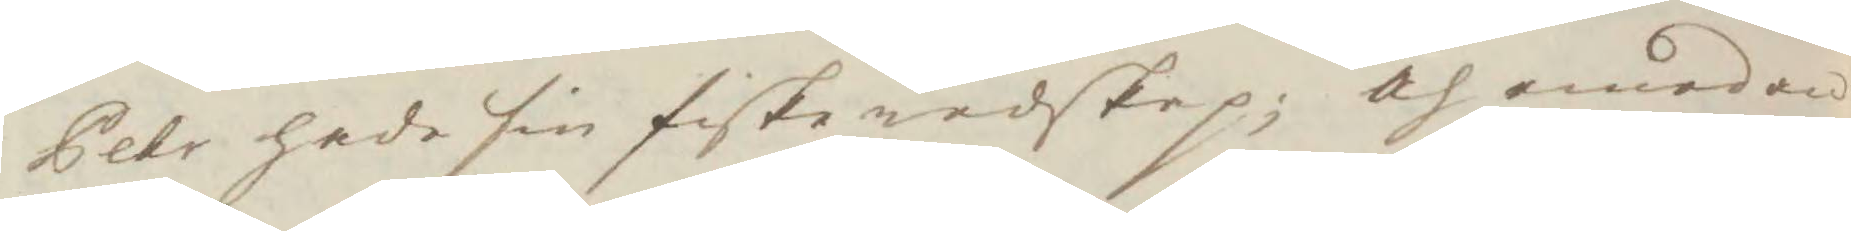Pehr hade sin fiskeredskap; och emedan
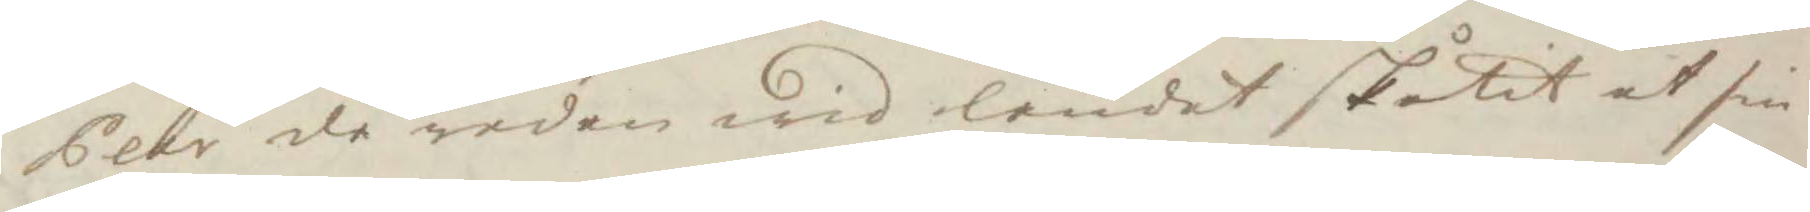Pehr då redan wid landet skutit ut sin
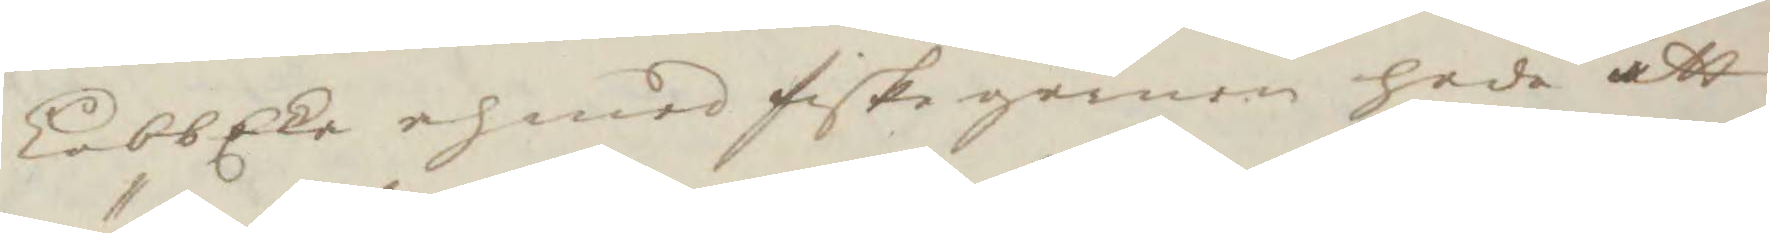LobbEka och med fiske garnen hade att
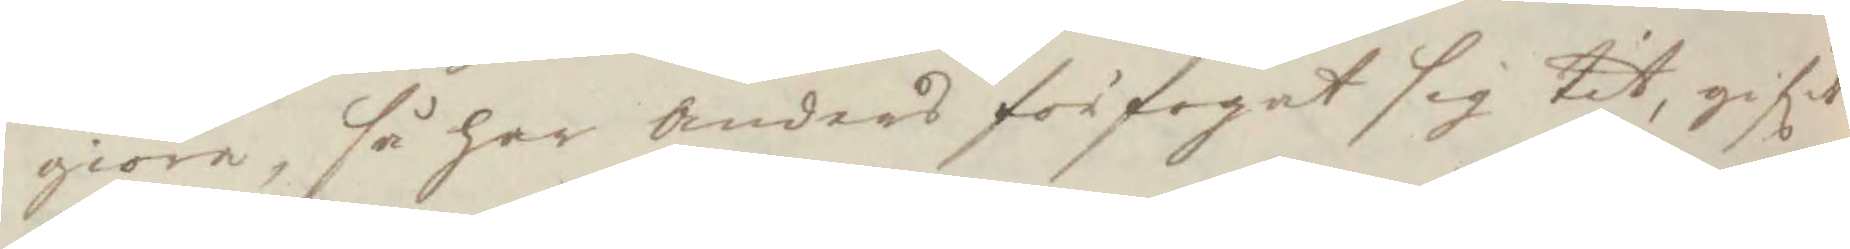giöra, så har Anders förfogat sig tit, gifit
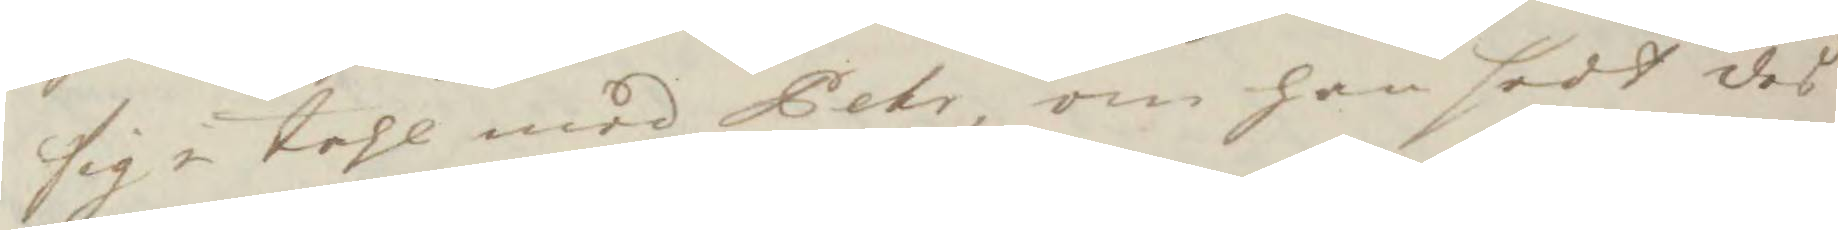sig i tahl med Pehr, om han sedt des
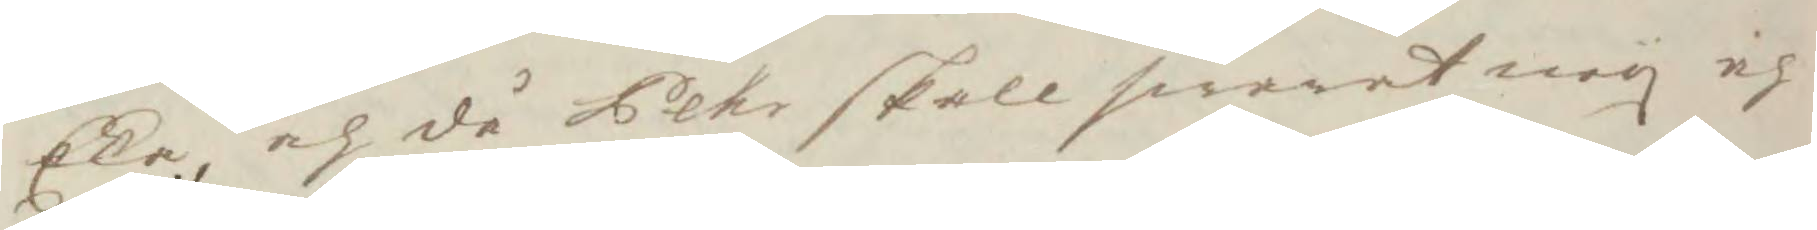Eka, och då Pehr skall swarat ney och
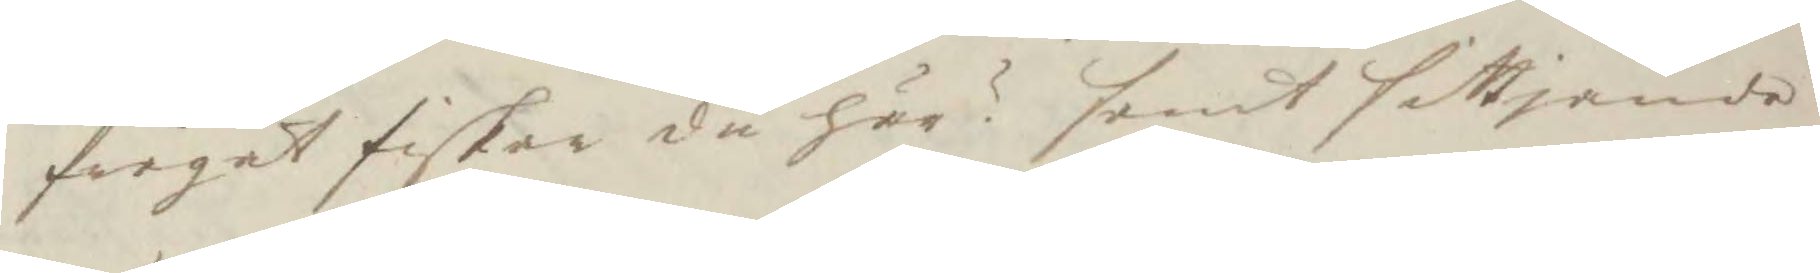frågat fiskar du här? samt sittjande
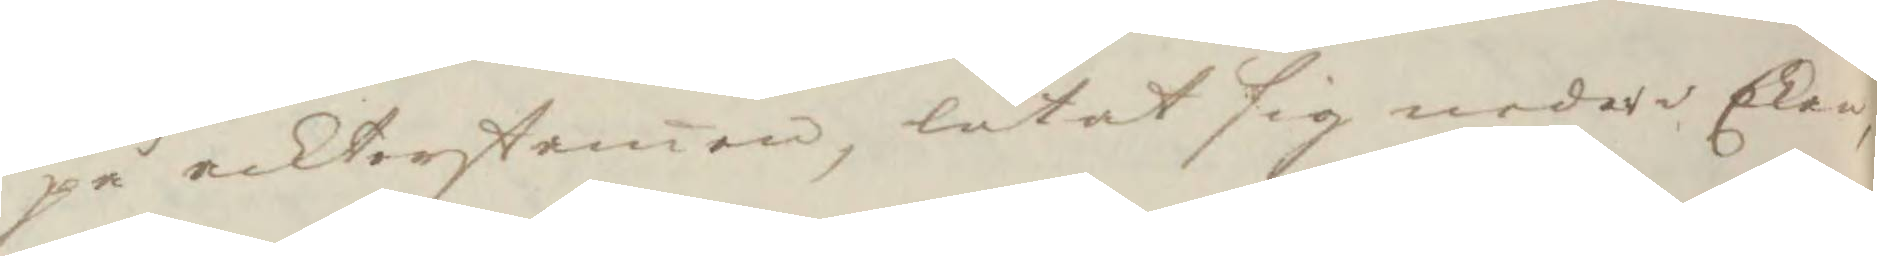på ackterstamen, lutat sig neder Ekan
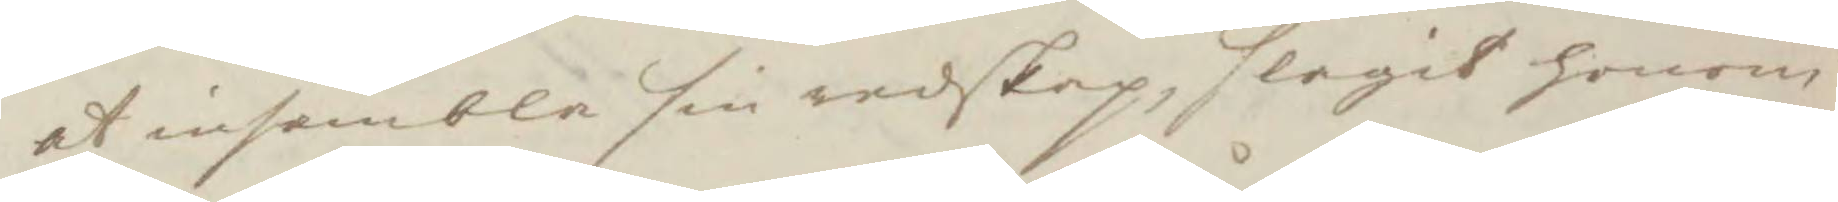at insambla sin redskap, slagit honom
